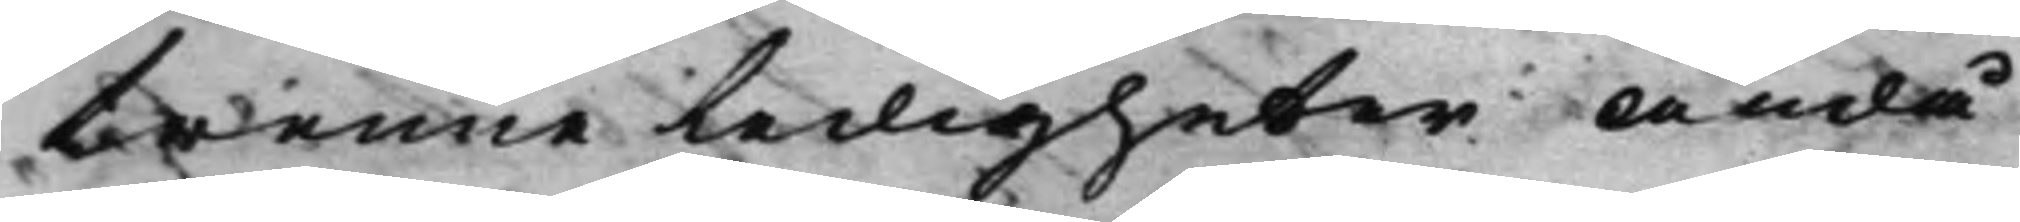trenne ledigheter ändå
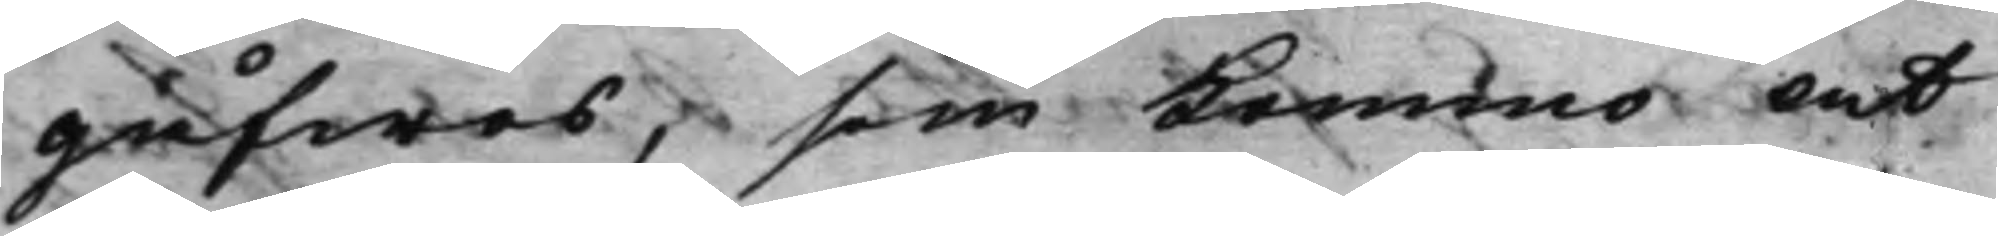gåfwos, som Komma at
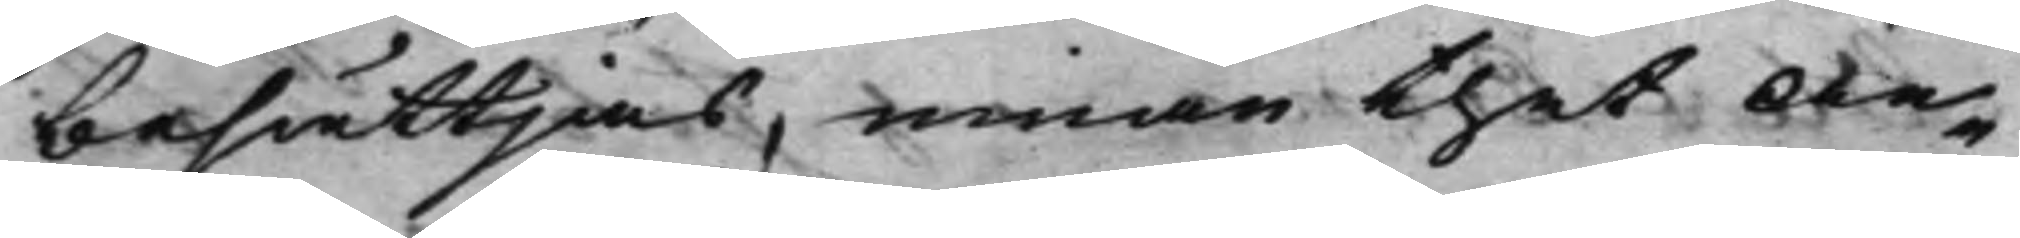besättjas, innan thet An¬
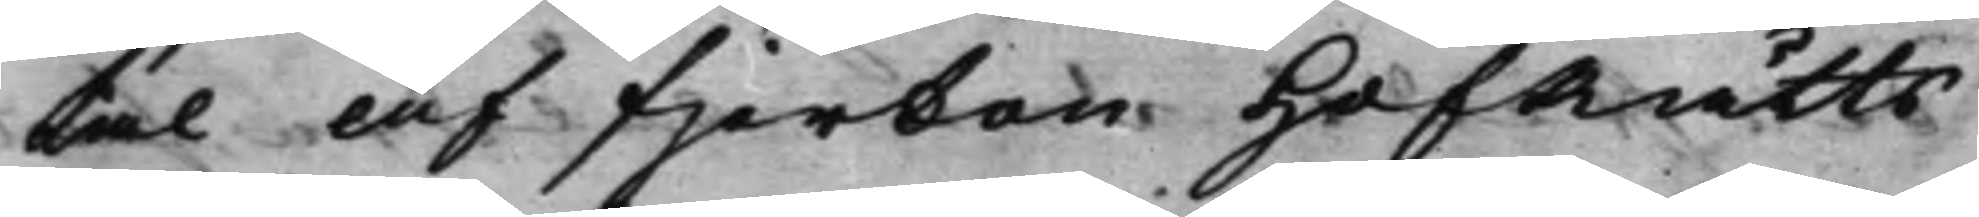tal af fjorton HofRätts¬
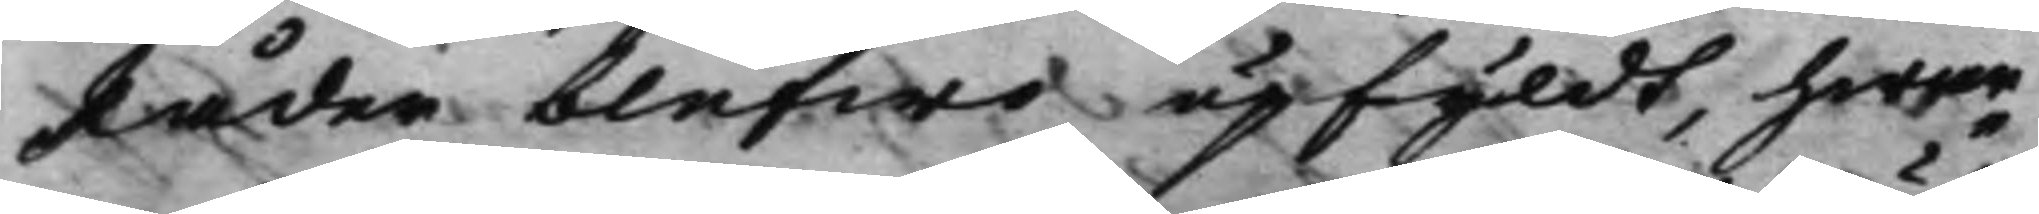Råder blefwo upfyldt, hwar¬
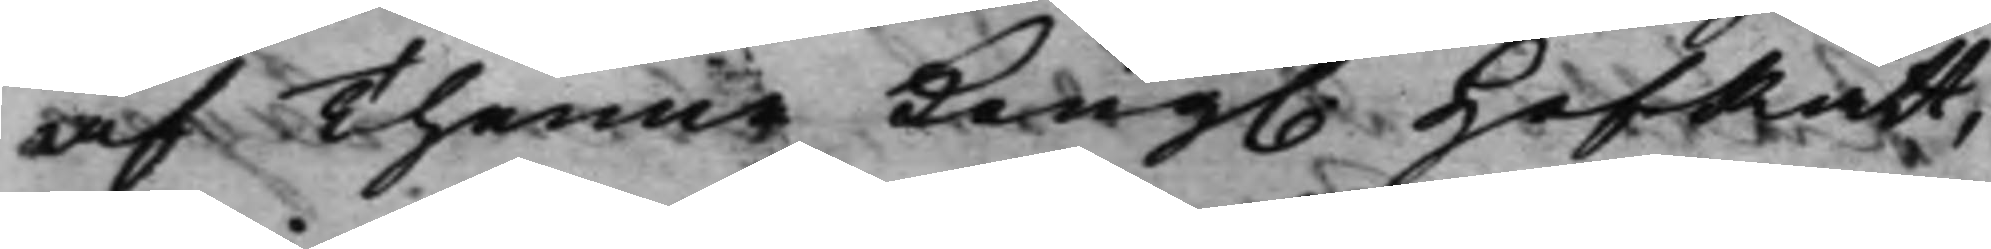af Thenne Kong. HofRätt, 
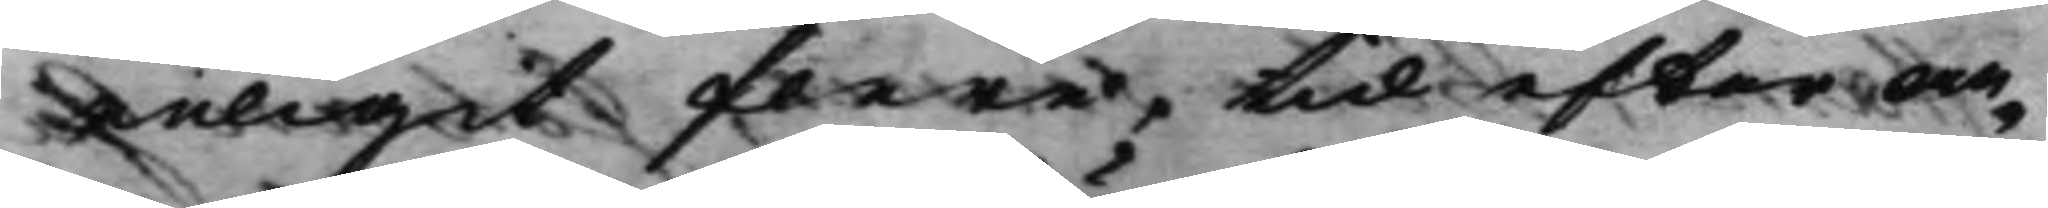enligit flere, tid efter an¬
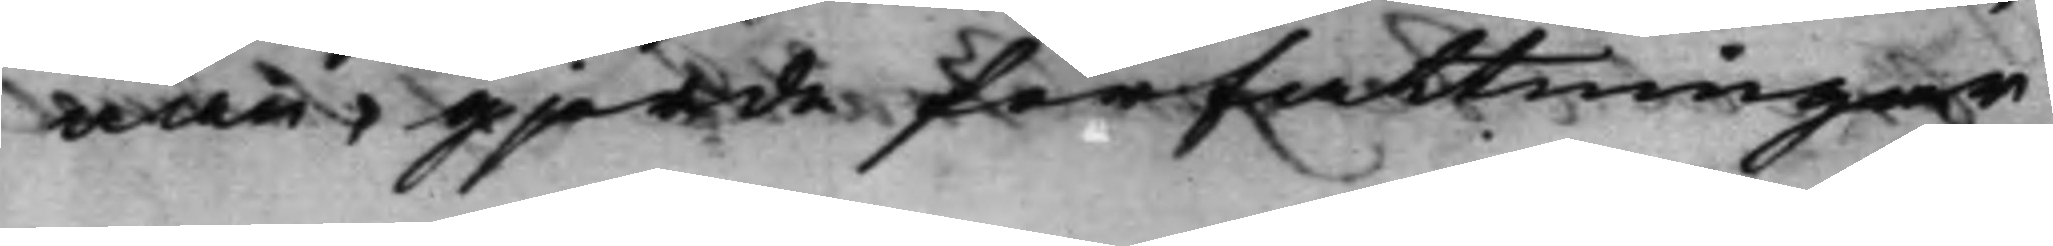nan, gjorde författningar
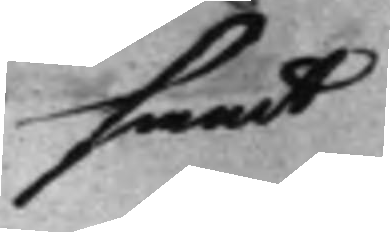samt
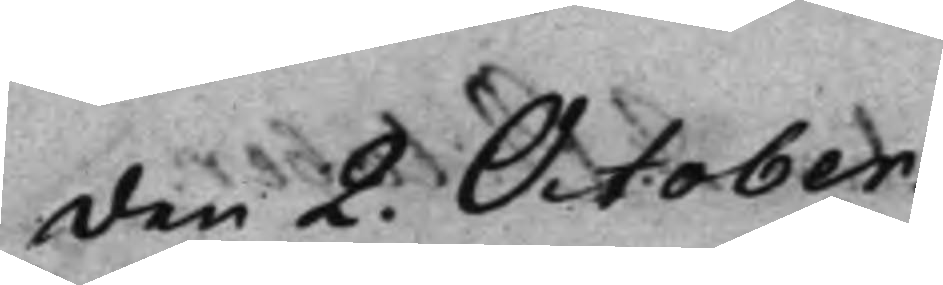den 2. October.
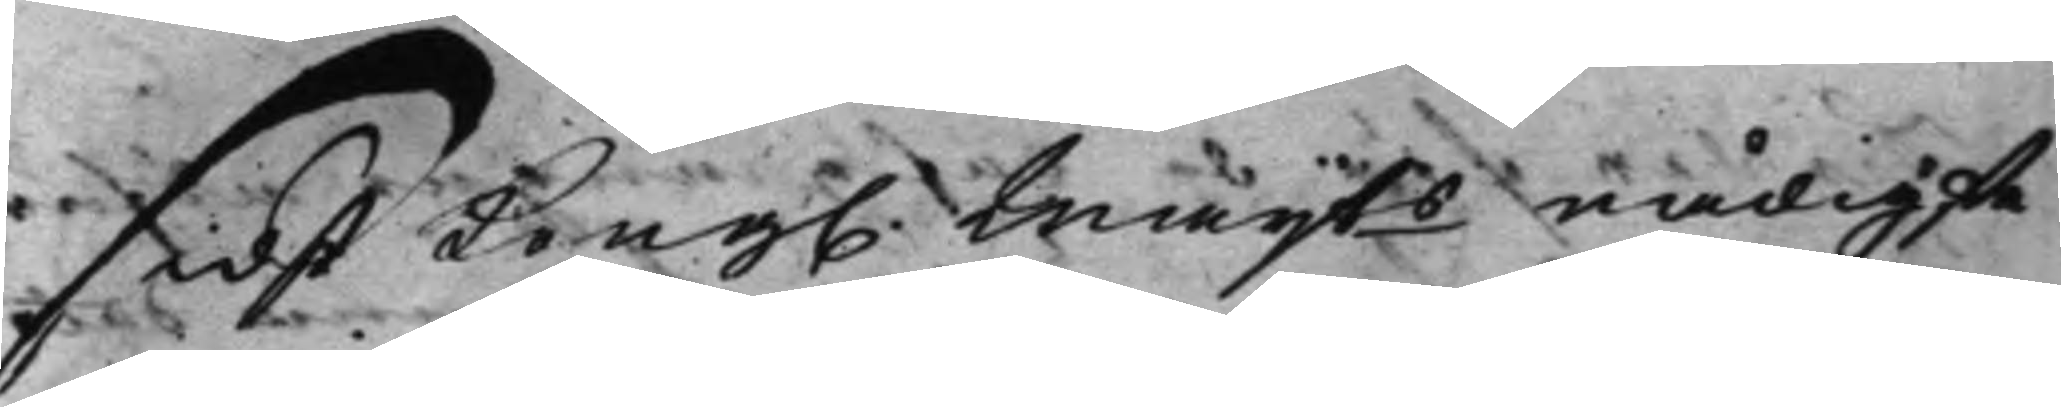sidst Kong. Maijts nådigste 
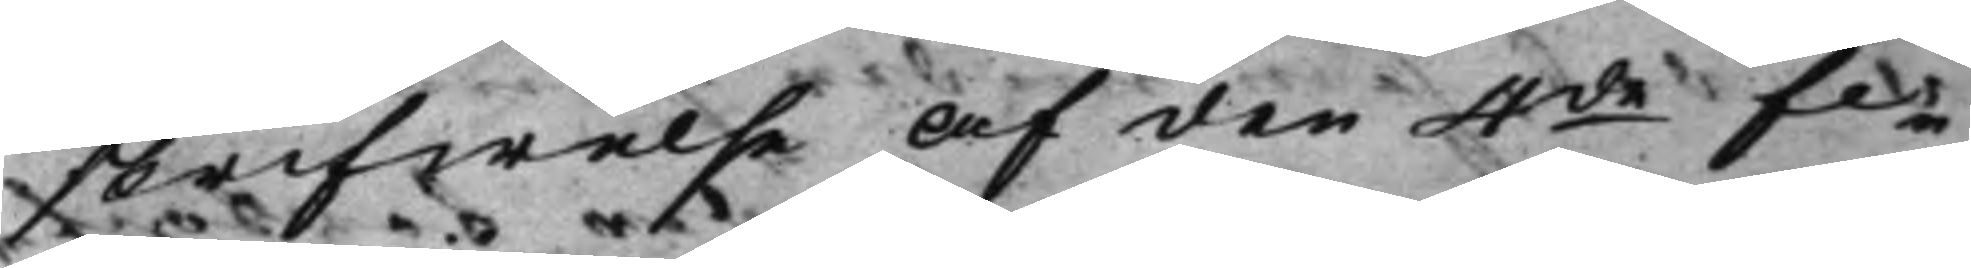skrifwelse af den 4de fe¬ 
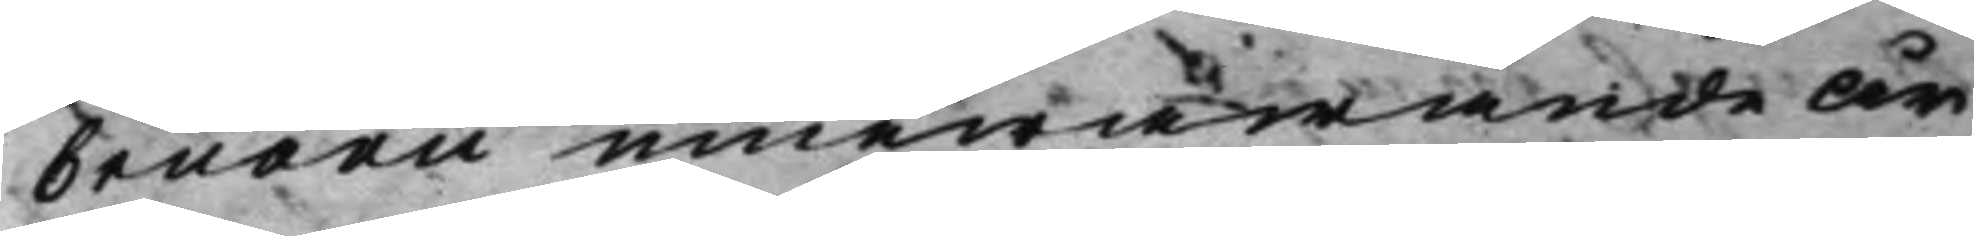bruarii innewarande år
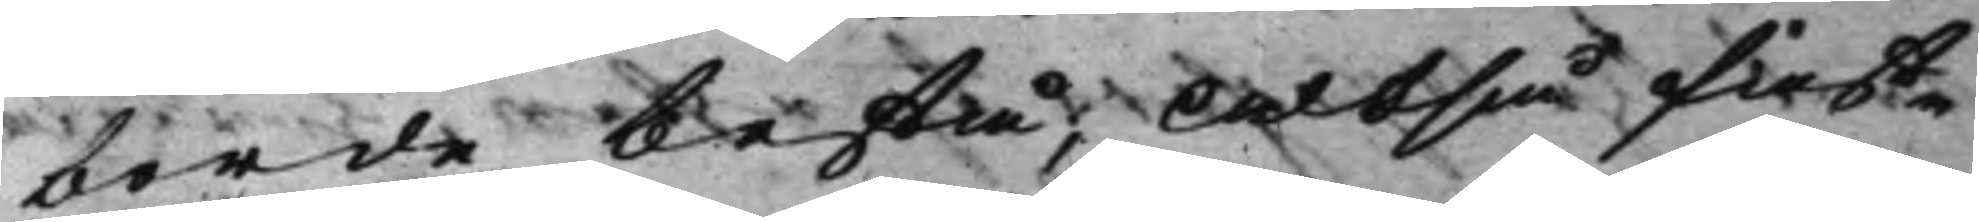borde bestå; Altså fast¬
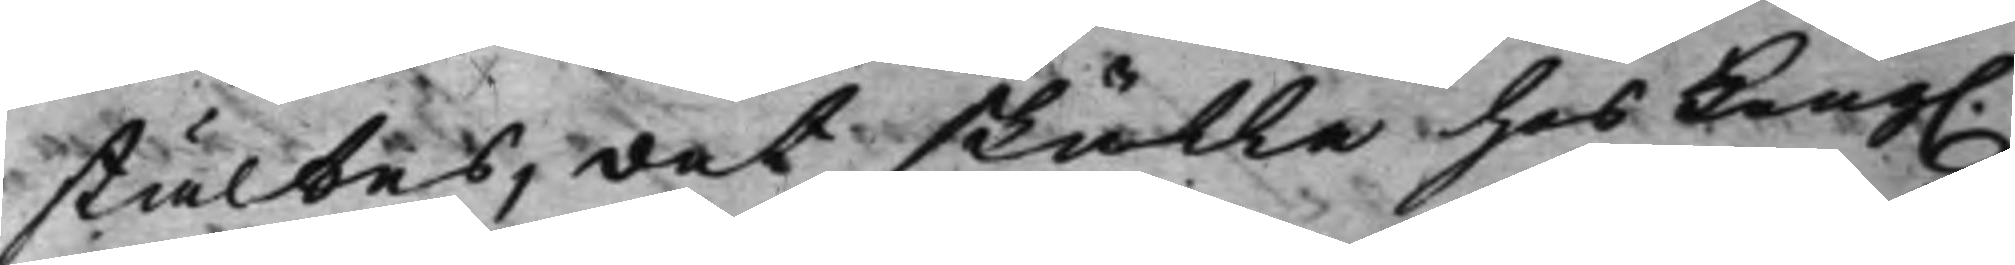stältes, det skulle hos Kong. 
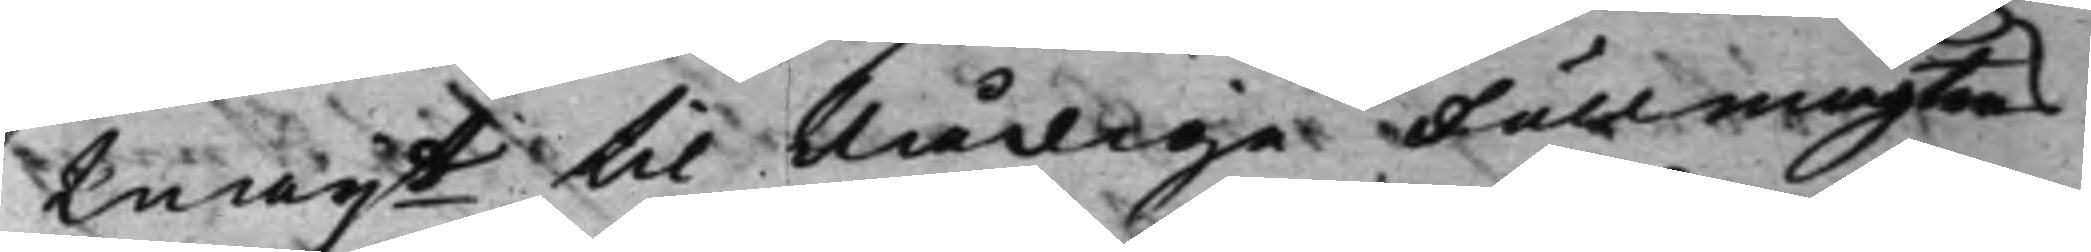Maijt til Nådige Fullmagtens 
